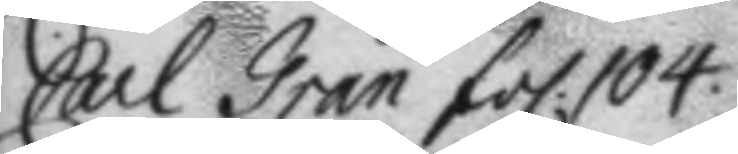Carl Gran fol. 104.
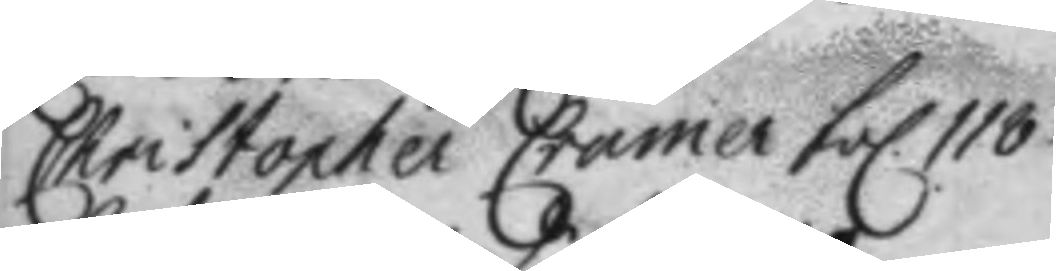Christopher Cramer fol. 118.
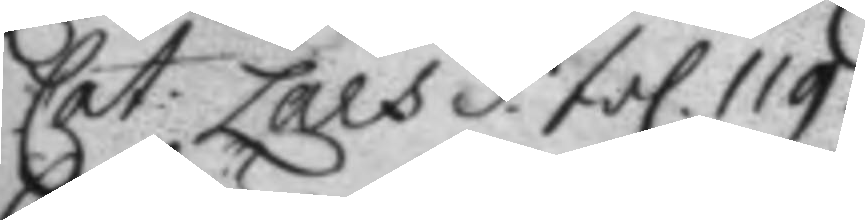Cat: Lars d. fol. 119.
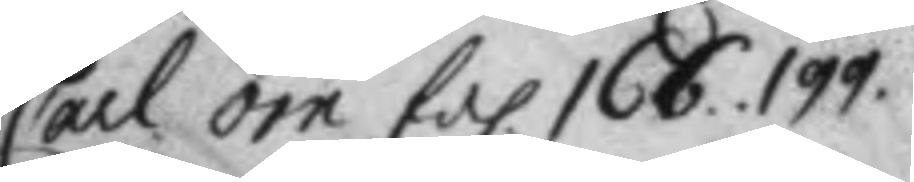Carl örn fol. 166. 199.
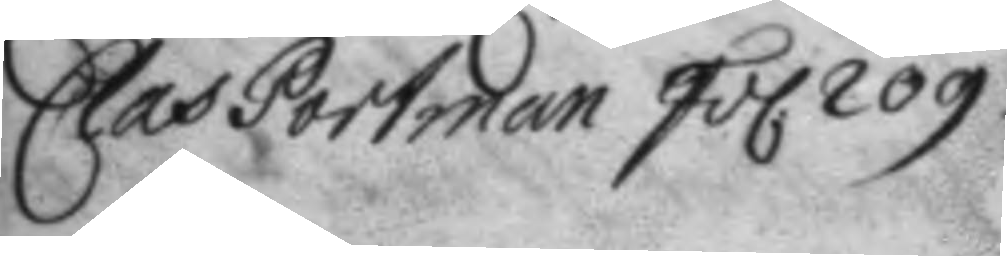Clas Portman fol. 209.
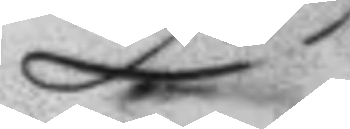D
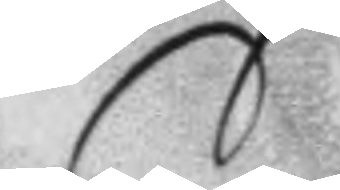E
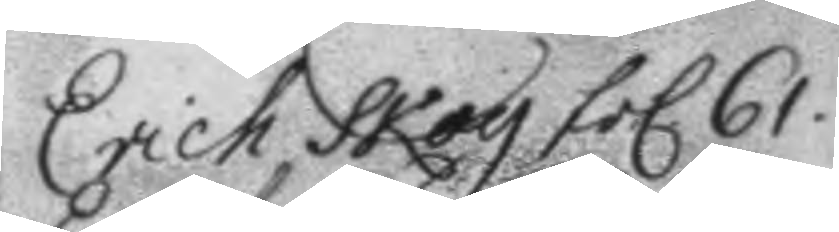Erich Skog fol. 61.
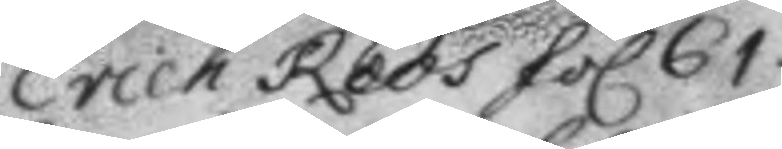Erich Roos fol. 61.
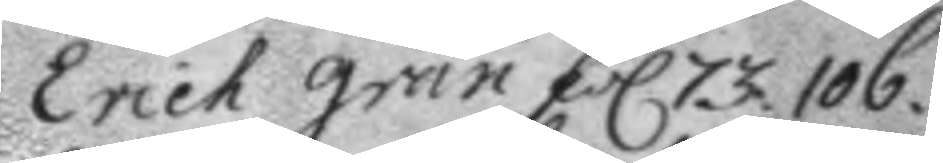Erich gran fol. 73. 106.
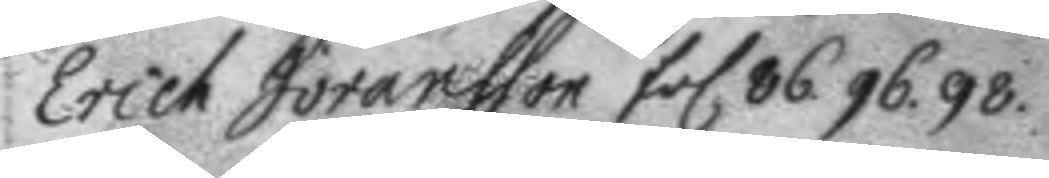Erich Johansson fol 86. 96. 98.
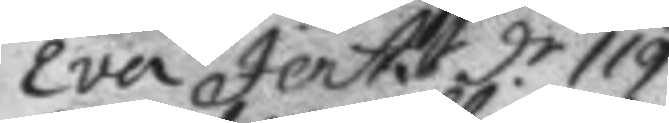Eva Jerts d.r 119.
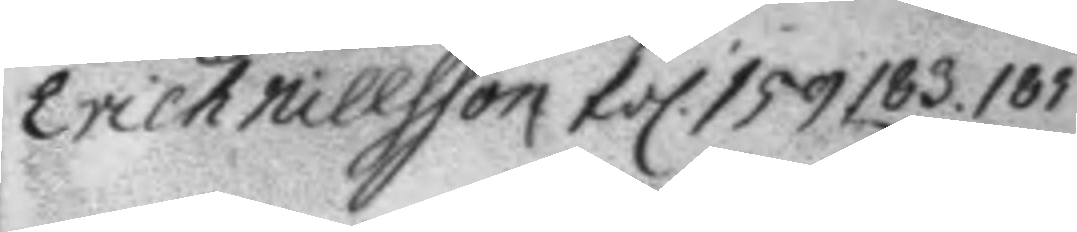erich Nillsson fol. 159. 183. 185.
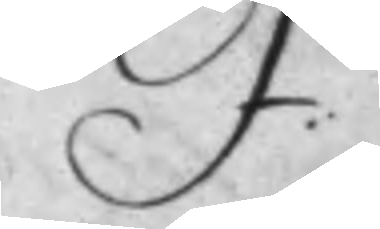F.
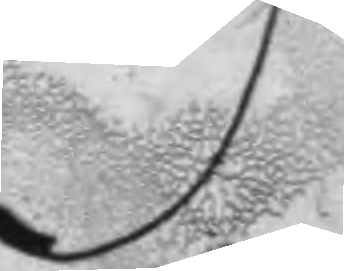G
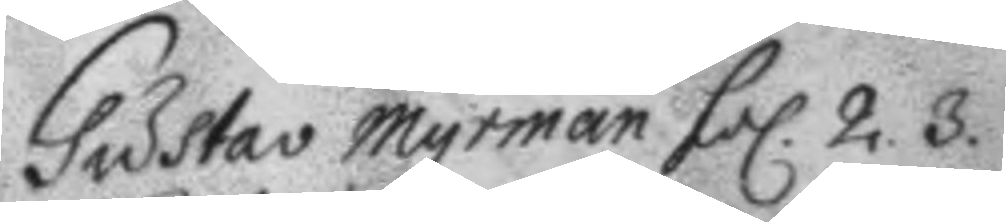Gustav Myrman fol. 2 .3.
